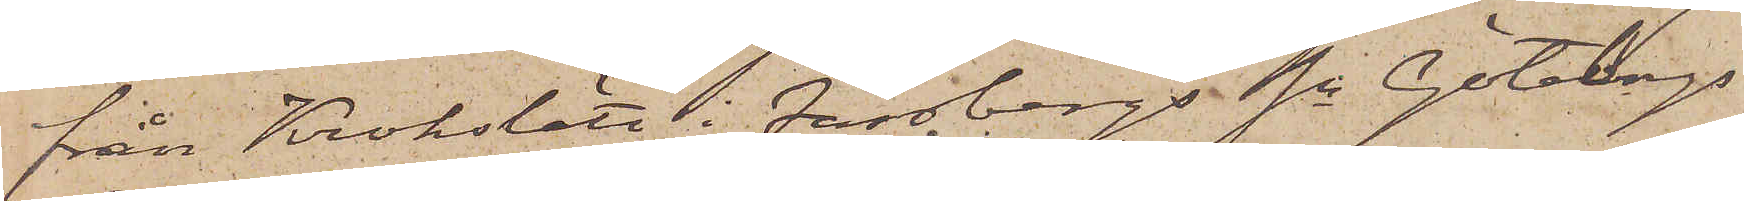från Krokslätt i Fässbergs sn Göteborgs
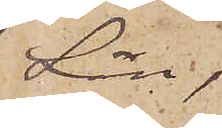Län,
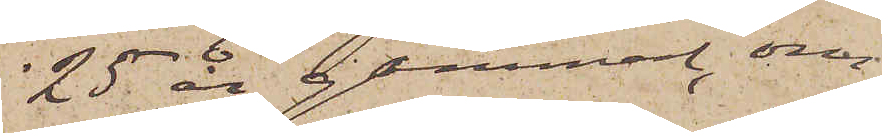25 år gammal, om¬
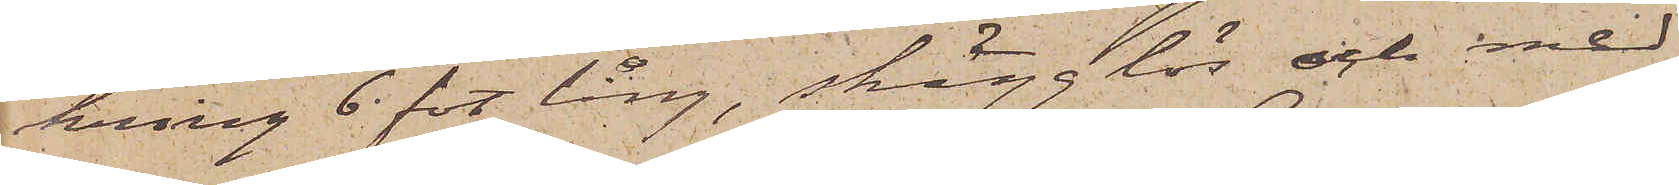kring 6 fot lång, skägglös och med
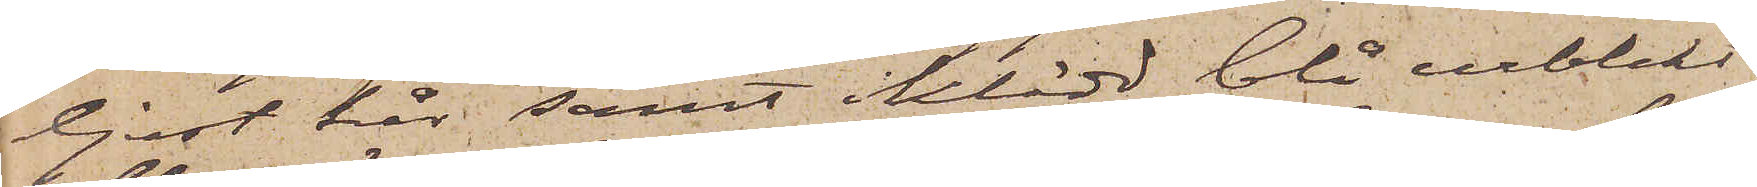ljust hår samt iklädd blå urblekt
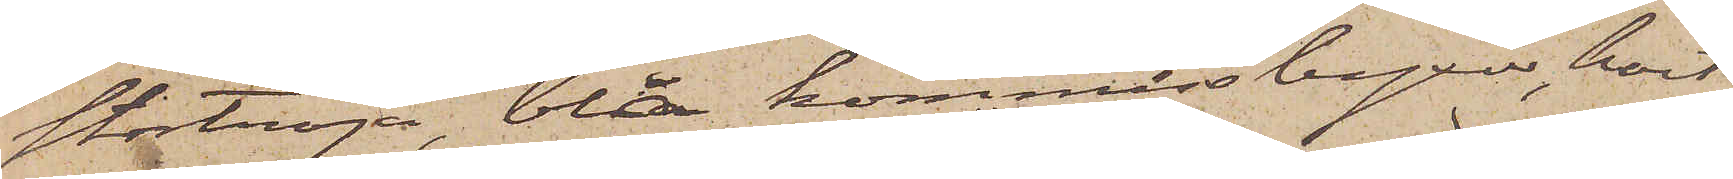stortröja, blå kommissbyxor, kort
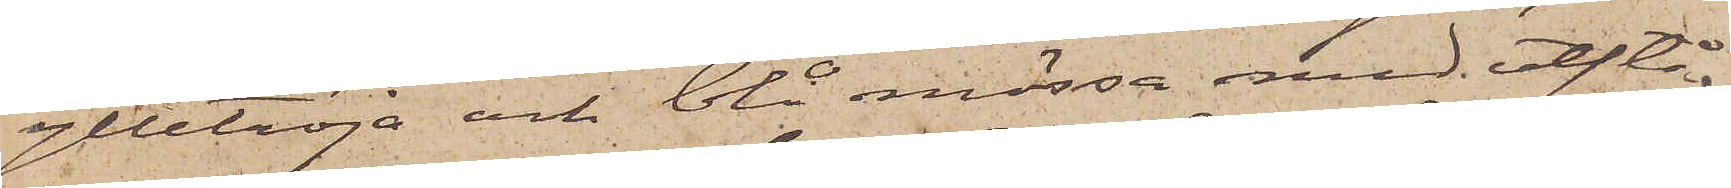ylletröja och blå mössa med utstå¬
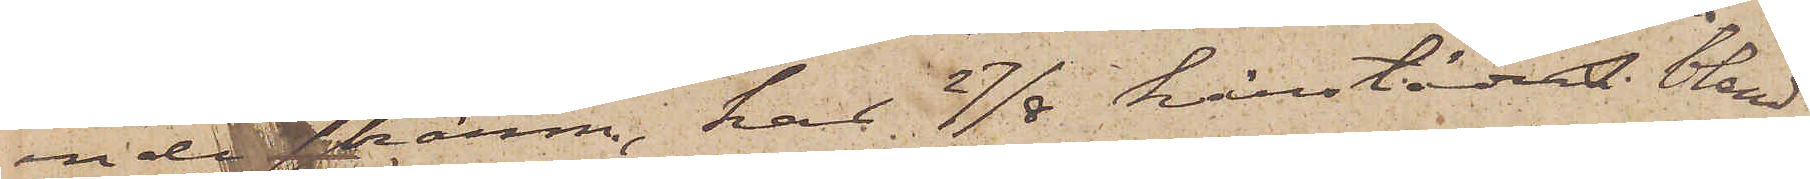ende skärm, har 27/8 härstädes bland
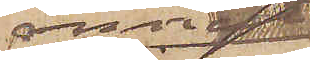annat 
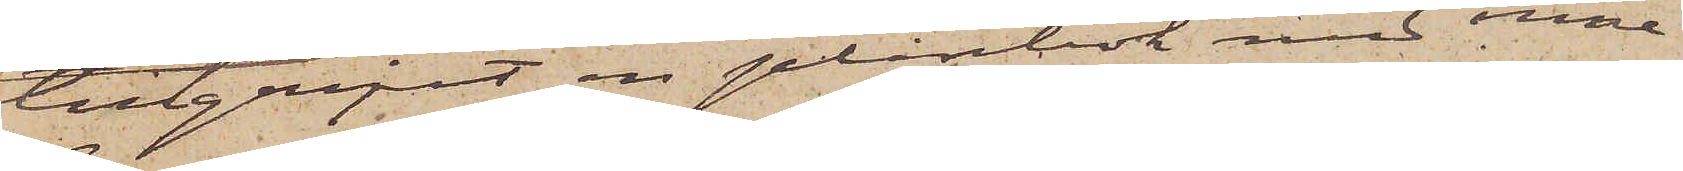tillgripit en plånbok med inne¬
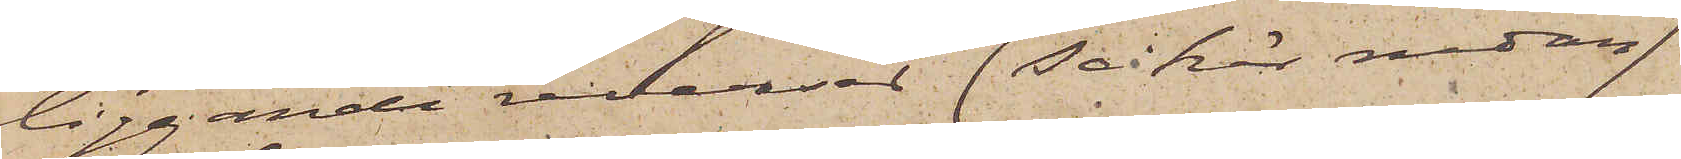liggande reverser (Se här nedan)
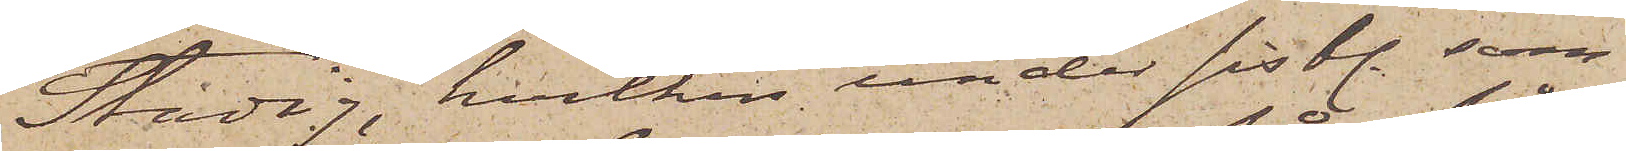Stadig, hvilken under sistl. som¬
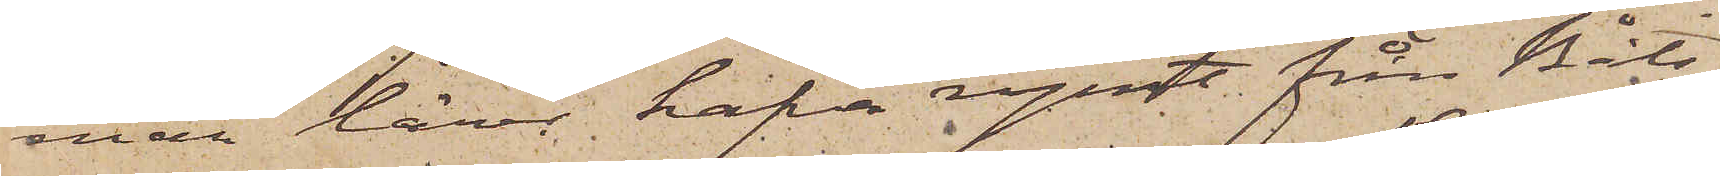mar lärer hafva rymt från Båts¬
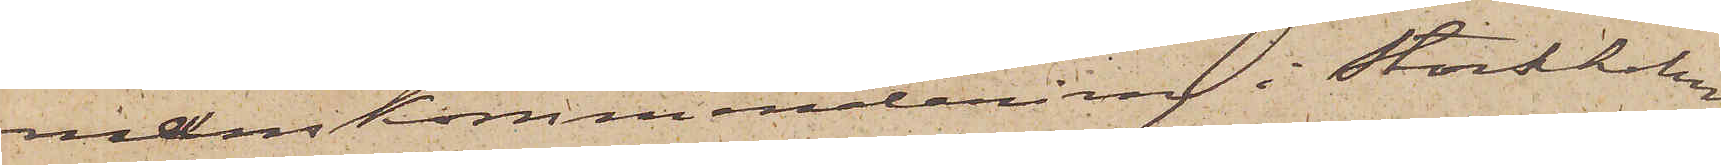manskommendering i Stockholm
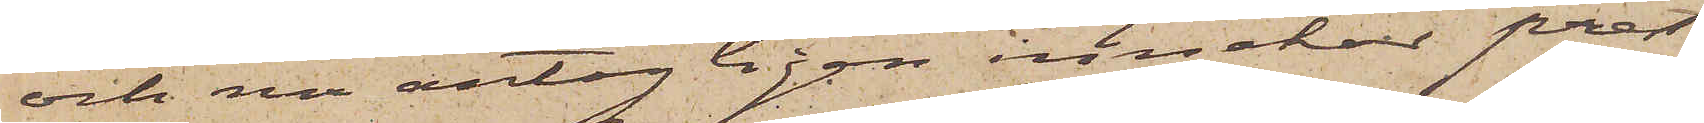och nu antagligen innehar prest¬
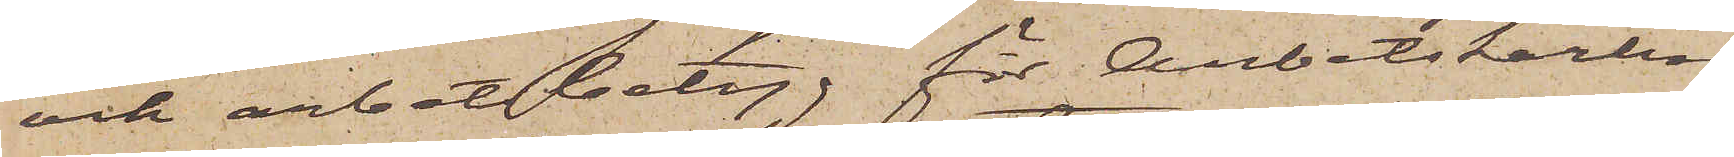och arbetsbetyg för Arbetskarlen
